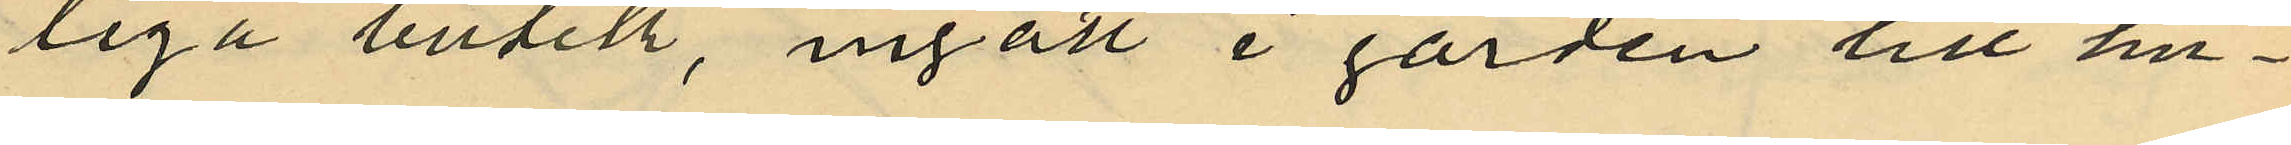liga butik, ingått i gården till hu¬
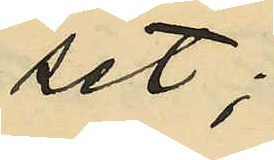set;
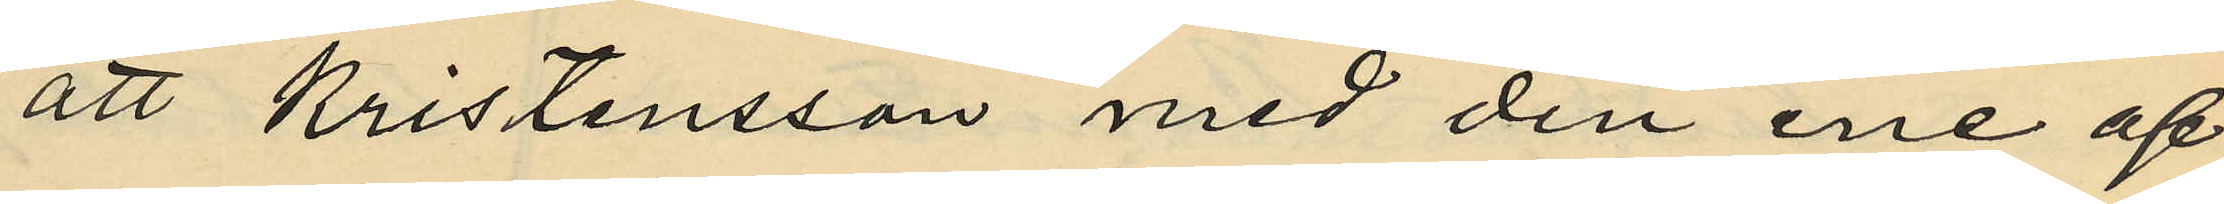att Kristensson med den ene af
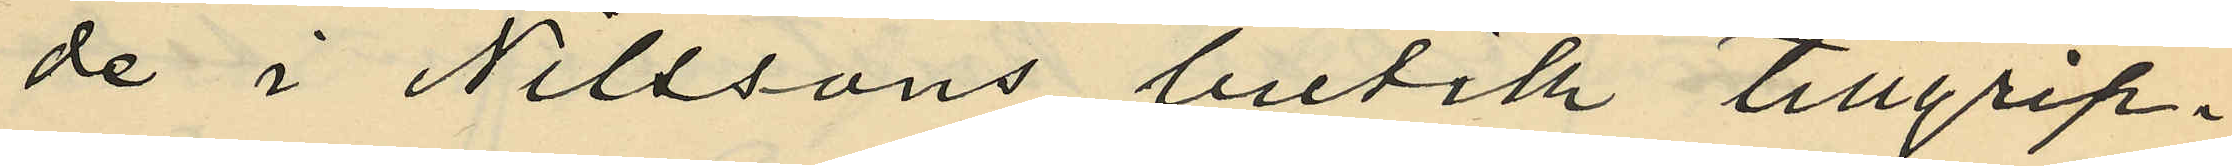de i Nilssons butik tillgrip¬
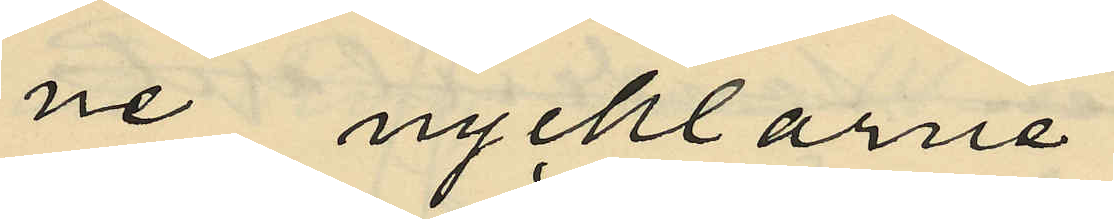ne nycklarna
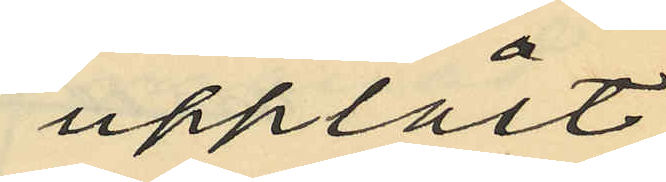upplåst
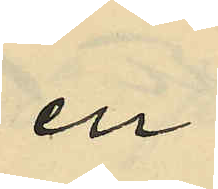en
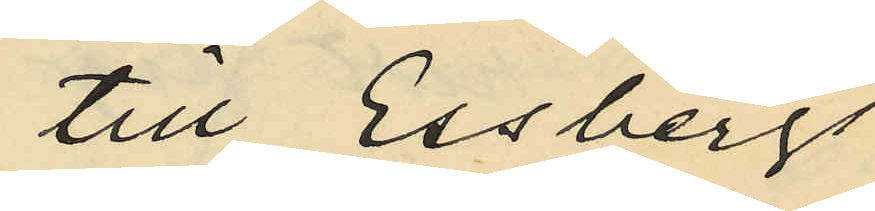till Essbergs
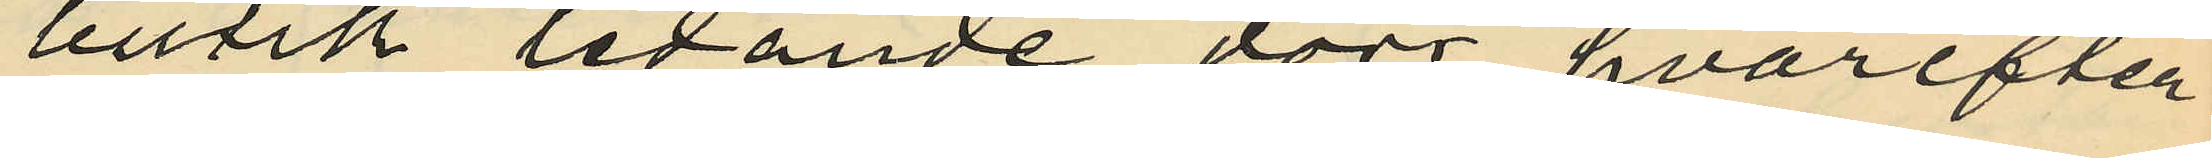butik ledande dörr, hvarefter
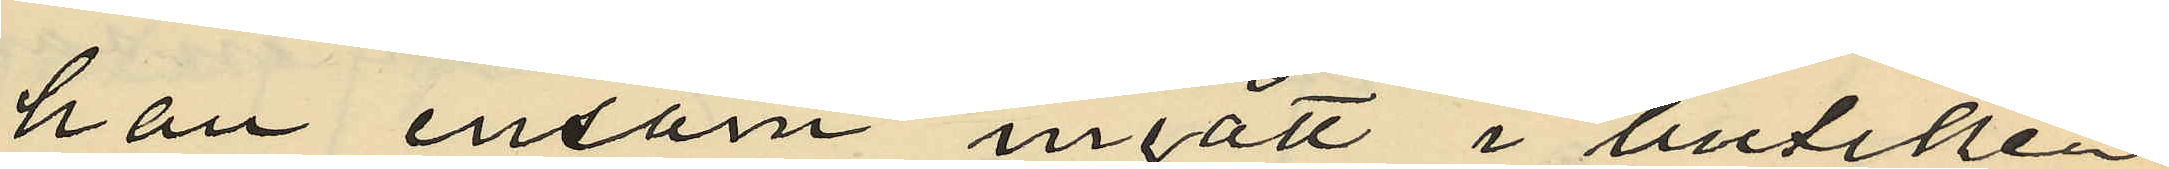han ensam ingått i butiken,
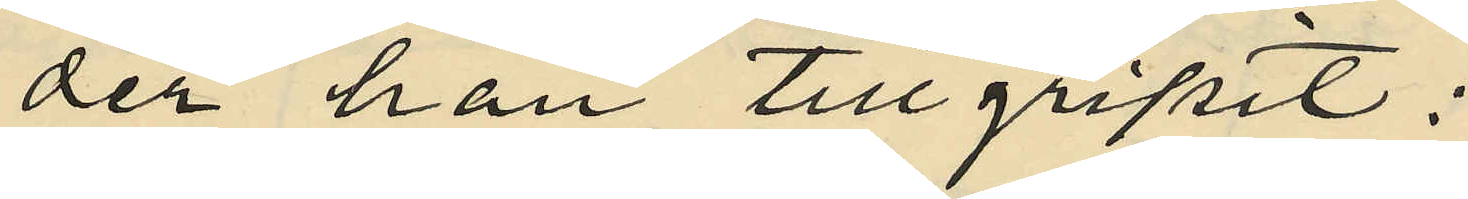der han tillgripit:
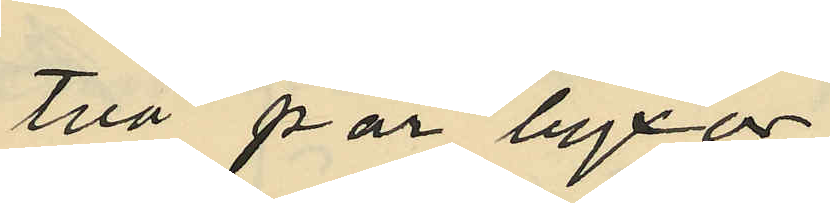två par byxor,
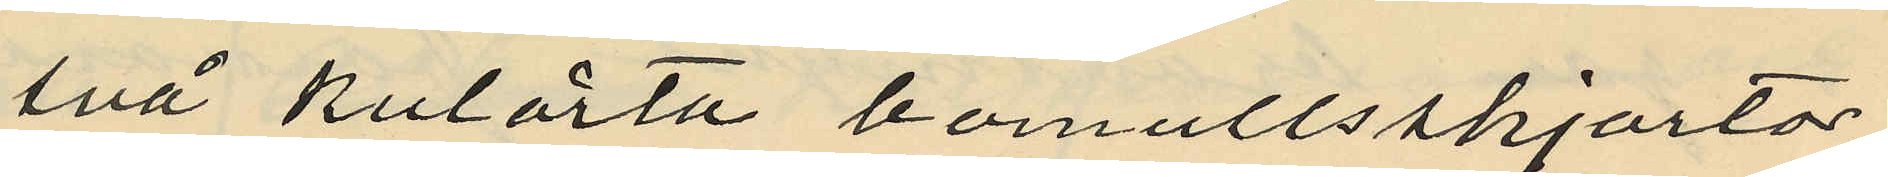två kulörta bomullsskjortor,
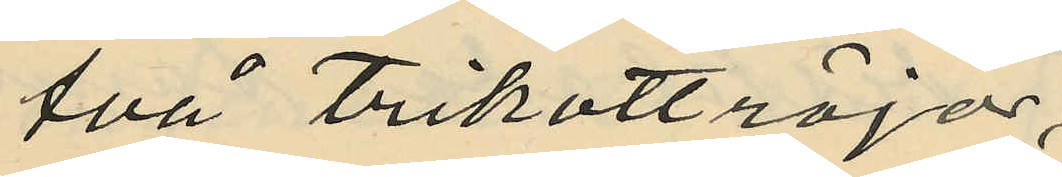två trikottröjor,
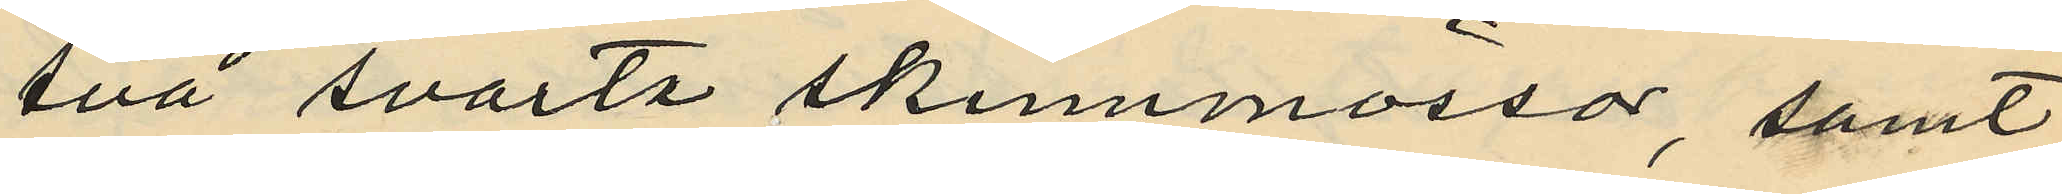två svarta skinnmössor, samt
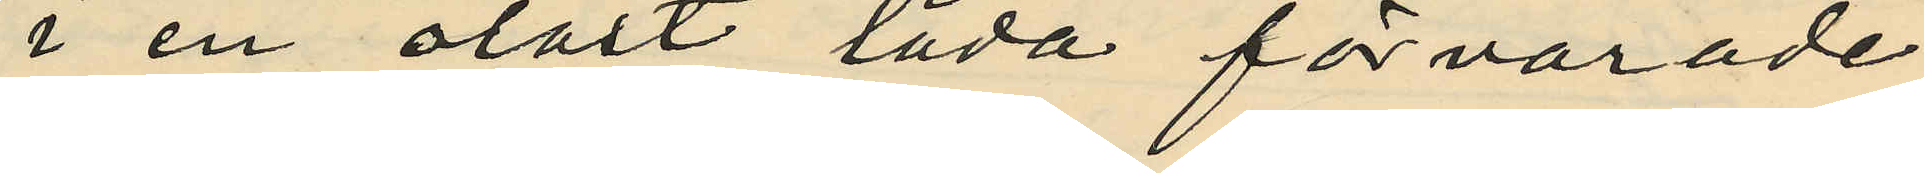i en olåst låda förvarade
